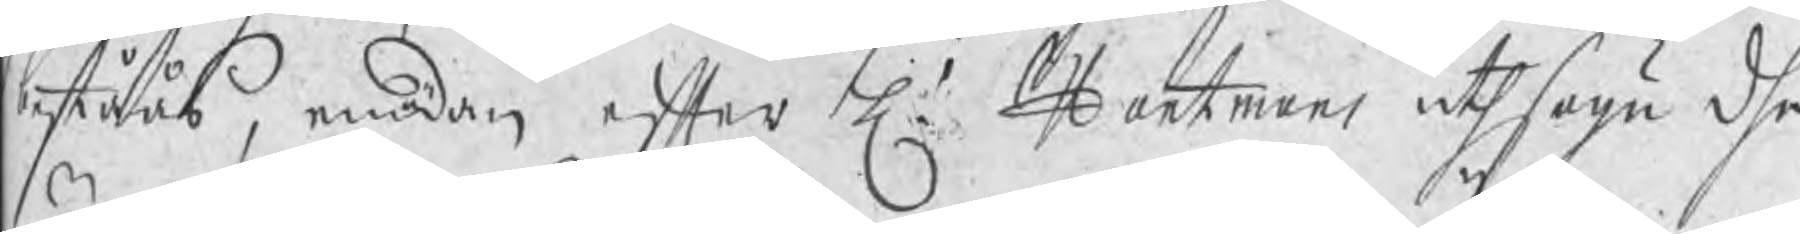beståås, emedan efter H. Hartmans uthsagu dhe
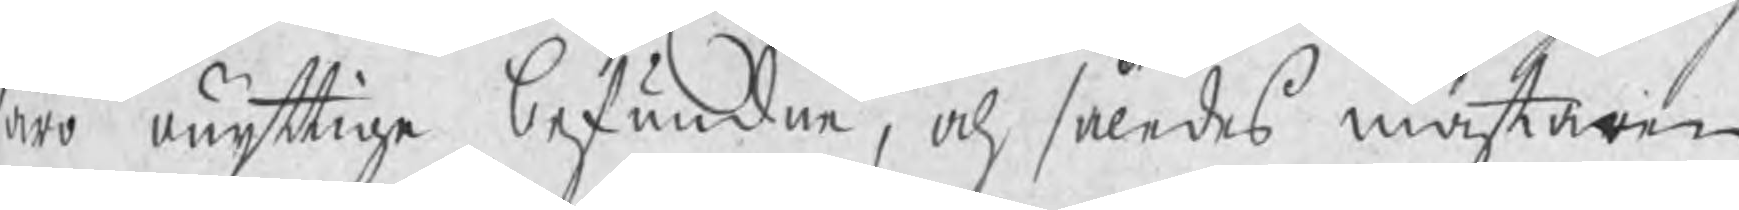äro onyttige befundne, och således mästaren
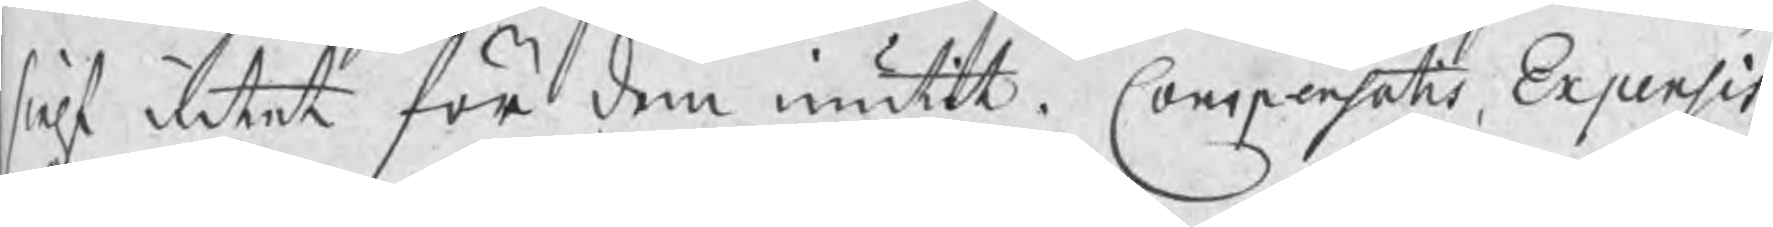sielf intet för dem niutit. Conspensatis Expensis
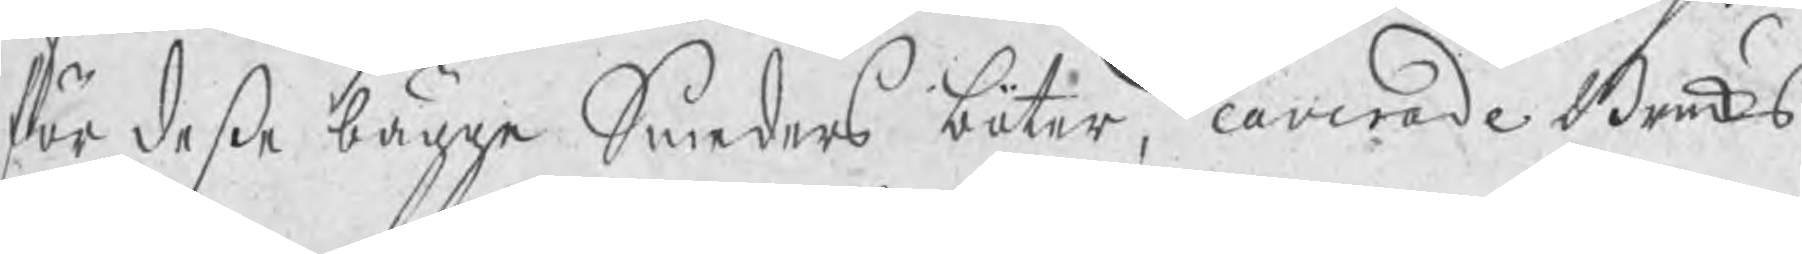för deße bägge Smeders böter, caverade Bruks¬
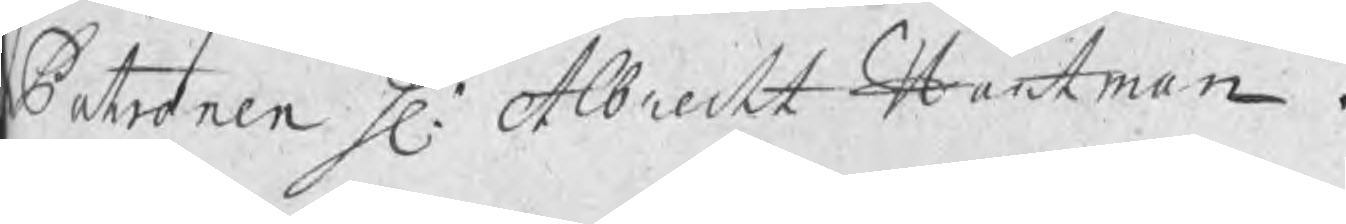Patronen H. Albrecht Hartman.
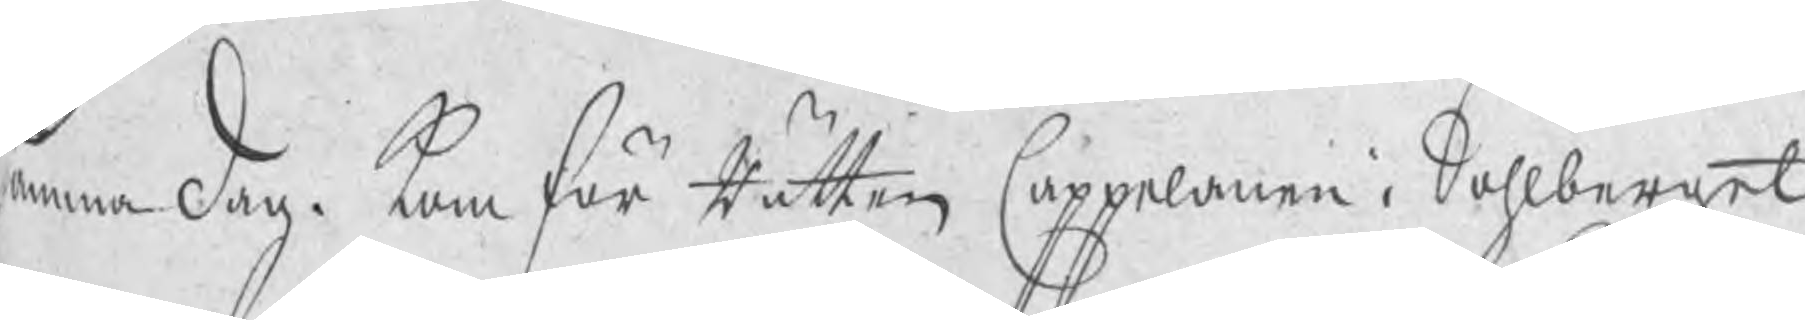Samma Dag. kom för Rätten Cappelanen i Sahlberget
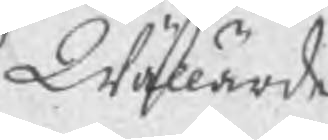Wällärde
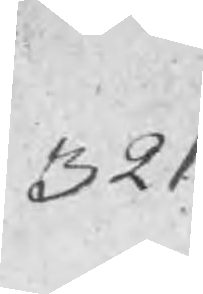321
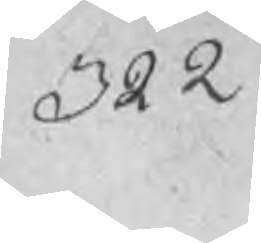322
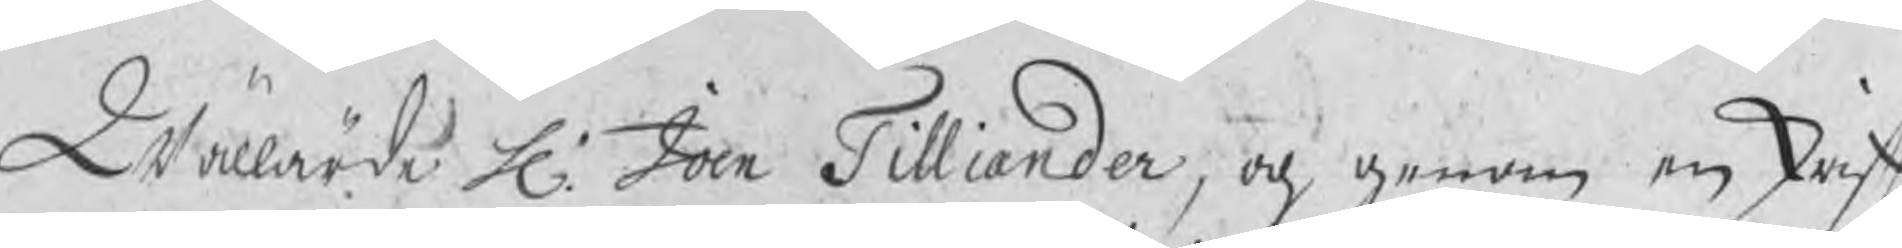Wällärde H. Joen Tilliander, och genom en skrift
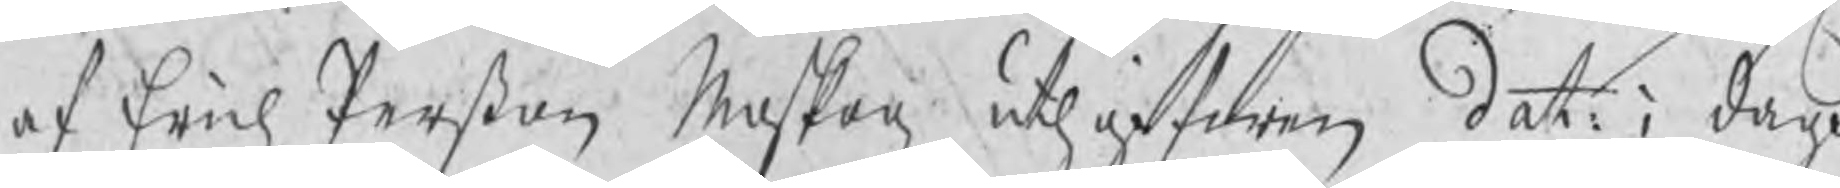af Erich Perßon Meskog, uthgifwen dat: i dagh
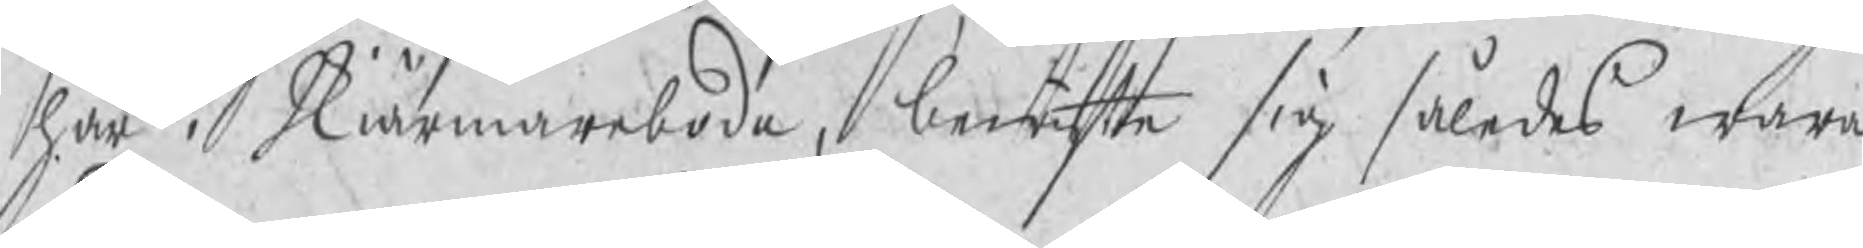här i Skiärmarboda, bewjste sig således wara
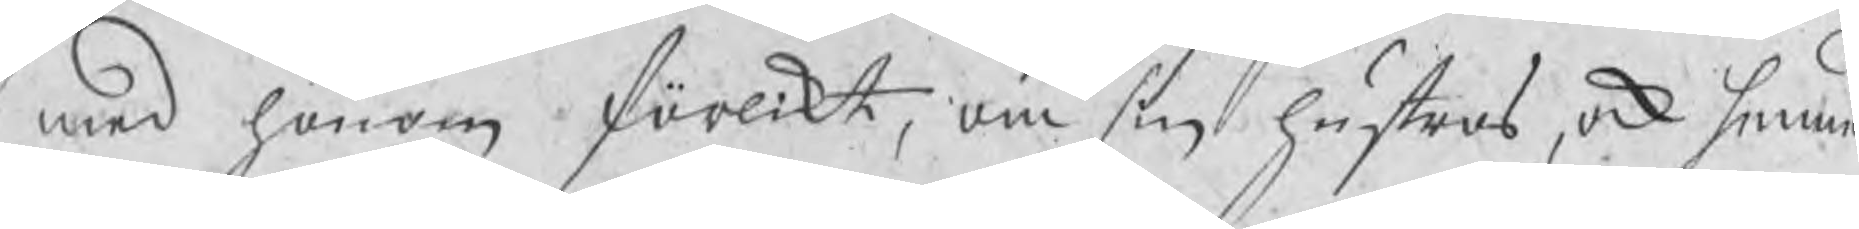med honom förlikt, om sin hustros, ock hennes
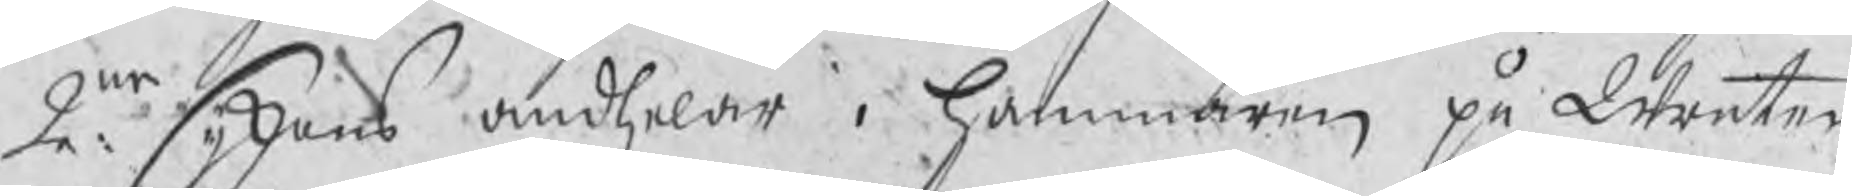2:ne syskons andhelar i Hammaren på Wreten
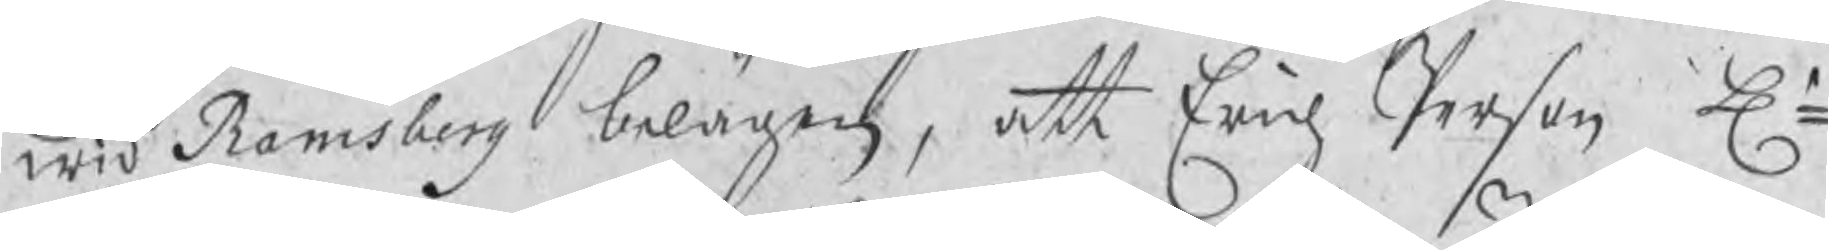wid Ramsberg belägen, att Erich Person Hr
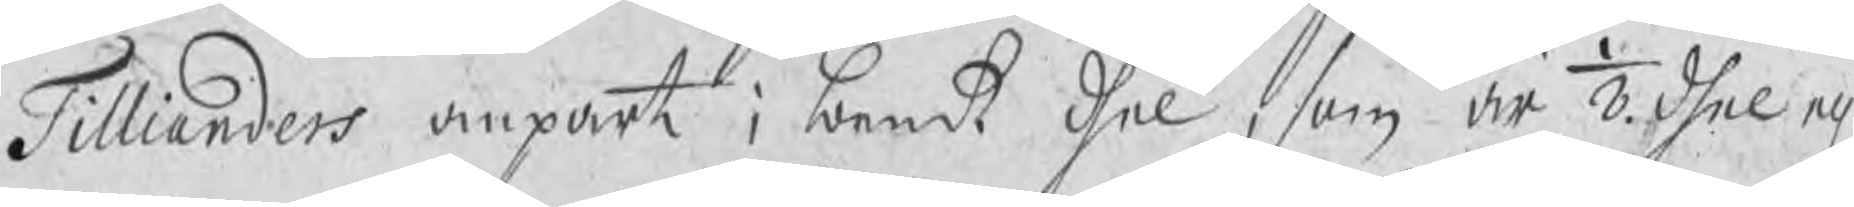Tillianders anpart i bemt dhel, som är 1/8.dhel el.
